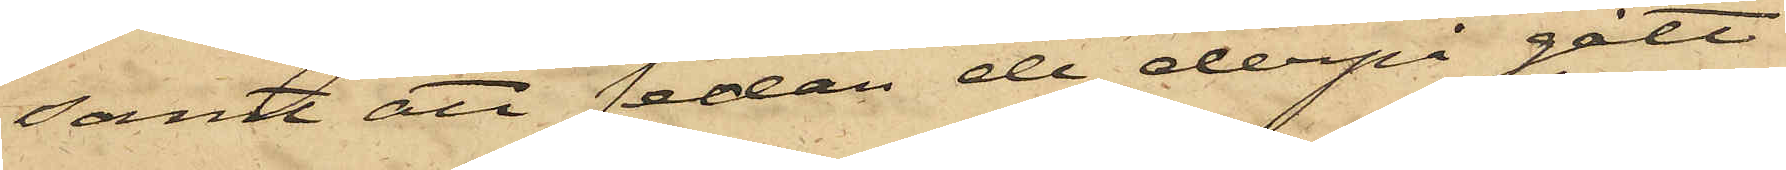samt att sedan de derpå gått
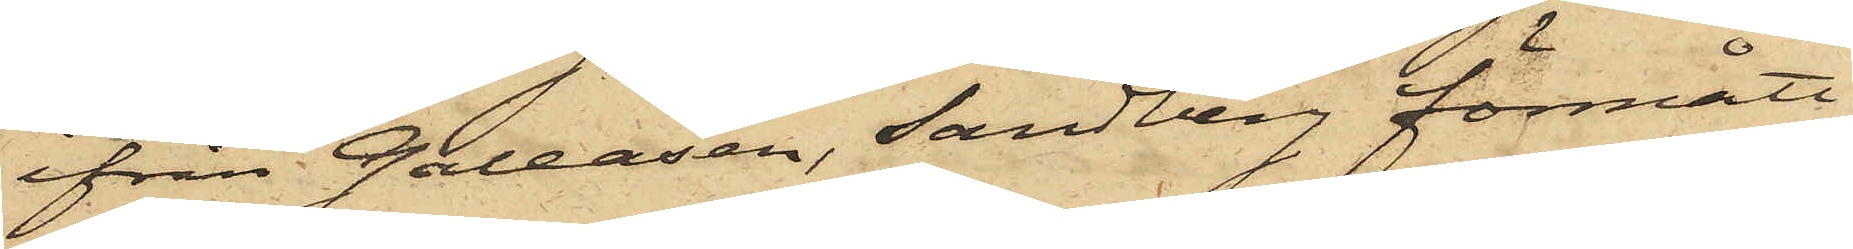ifrån Galeasen, Sandberg förmått
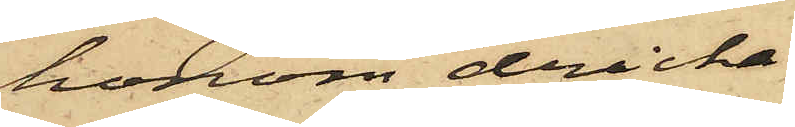honom dricka
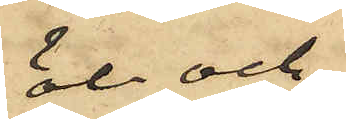öl och
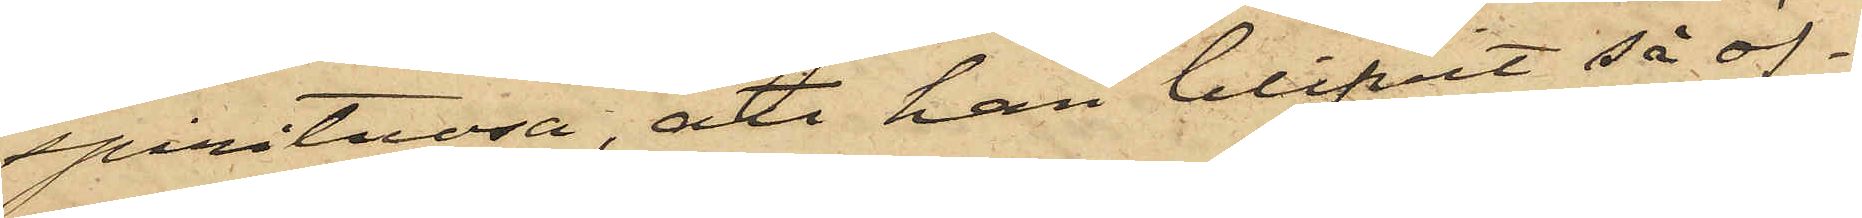spirituosa, att han blifvit så öf¬
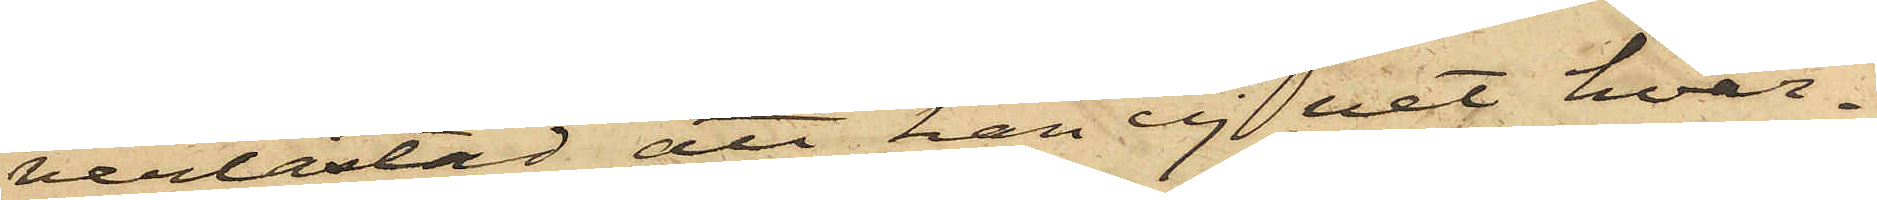verlastad att han ej vet hvar¬
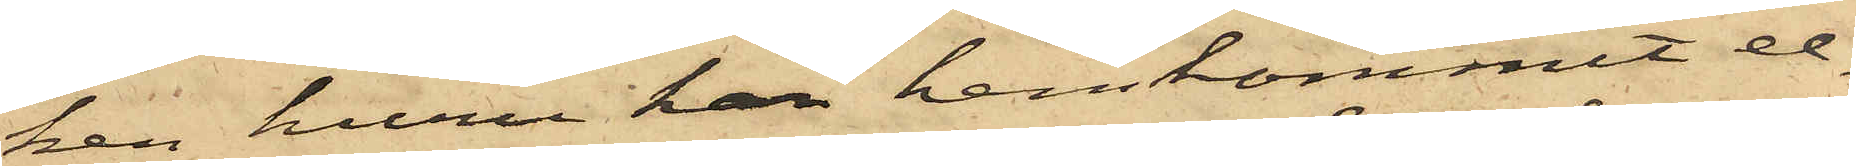ken huru han hemkommit el¬
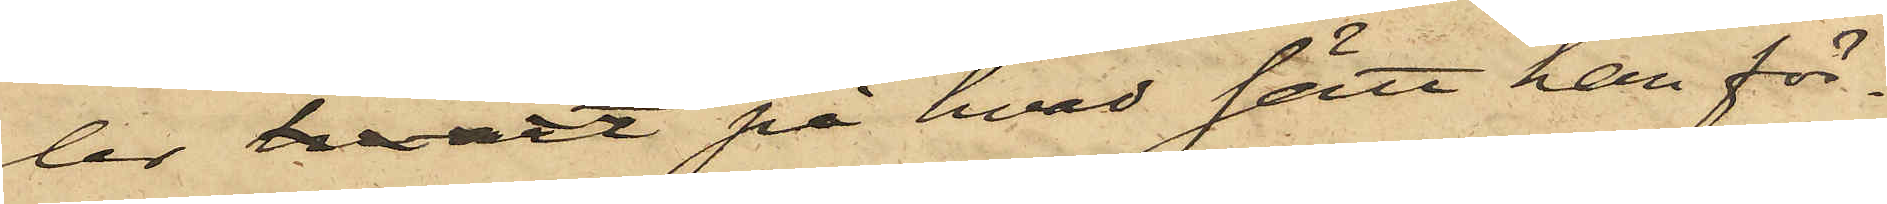ler huru på hvad sätt han för¬
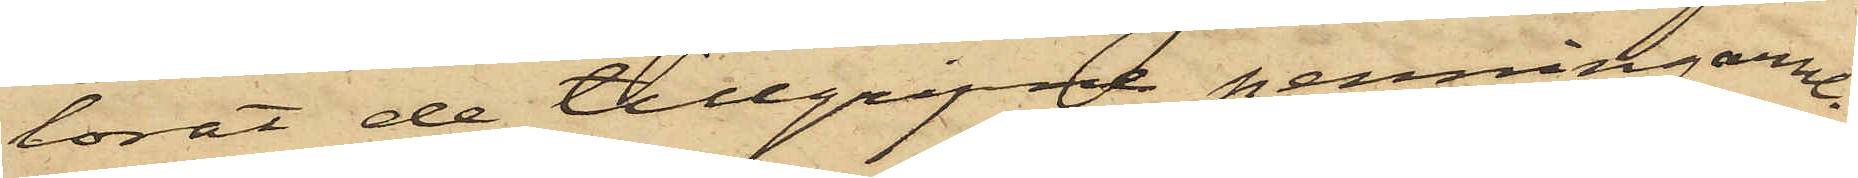lorat de tillgripne penningarne.
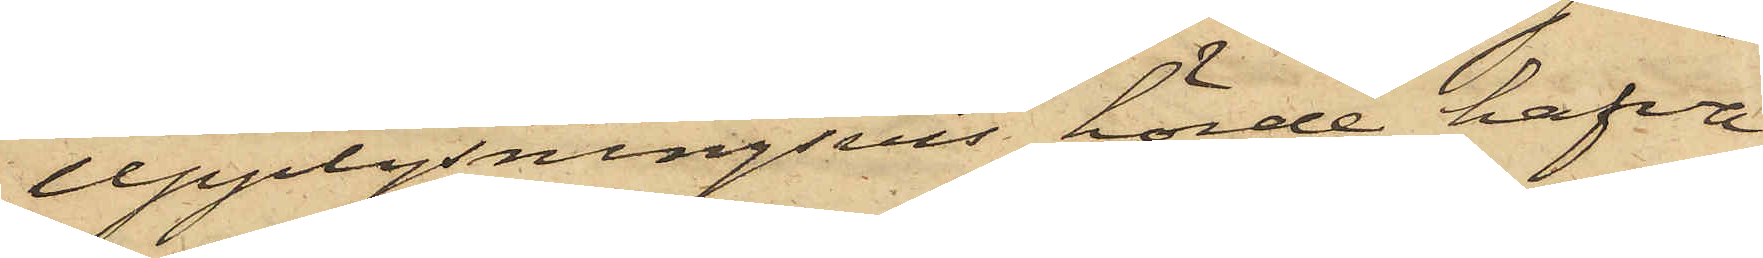Upplysningsvis hörde hafva
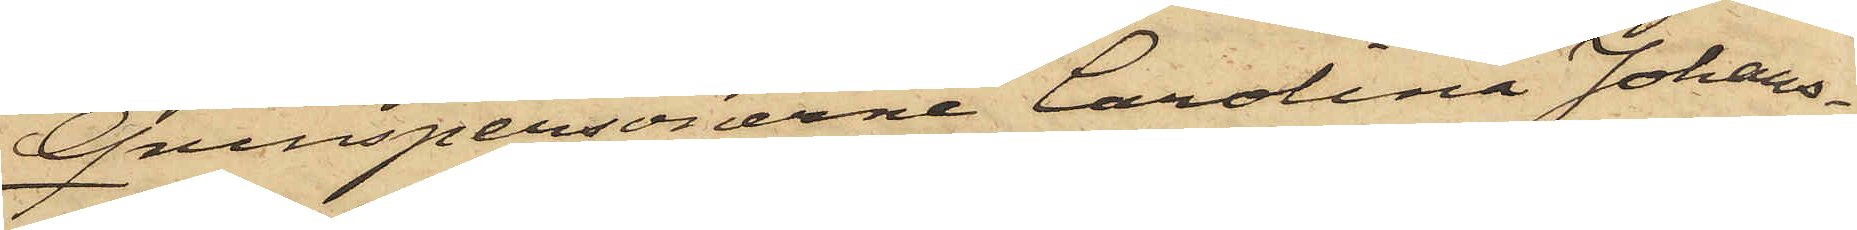Qvinspersonerne Carolina Johans¬
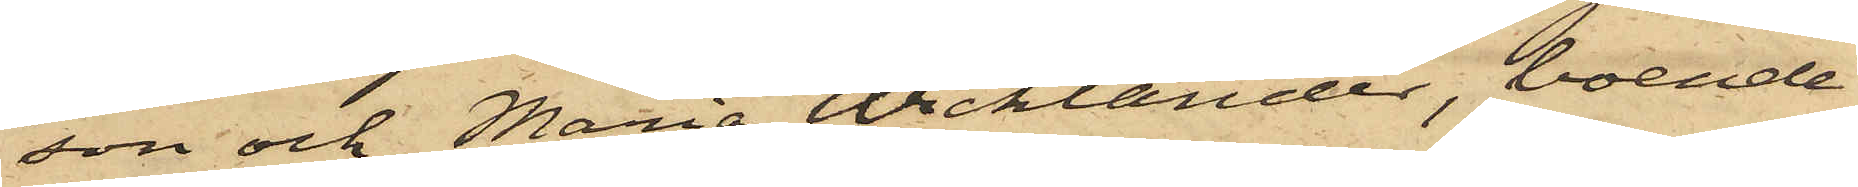son och Maria Wicklander, boende
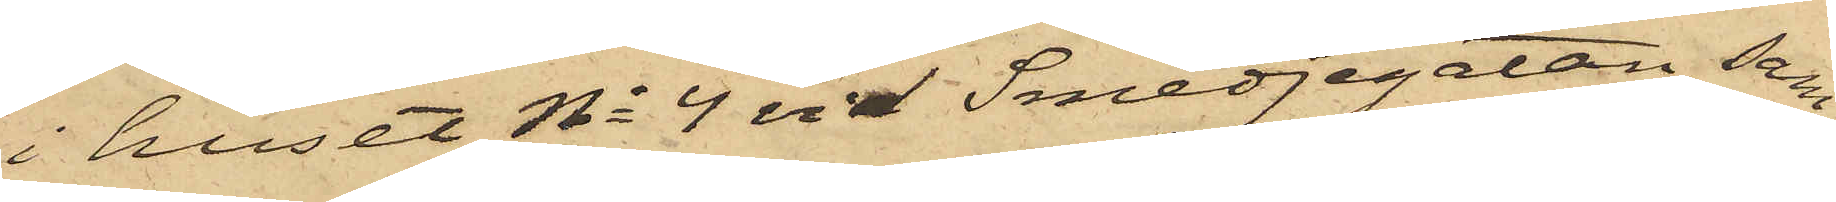i huset No 4 vid Smedjegatan, sam¬
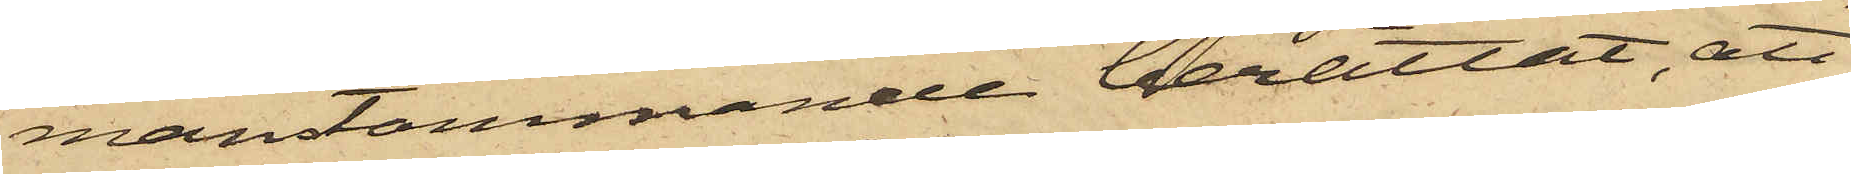manstämmande berättat, att
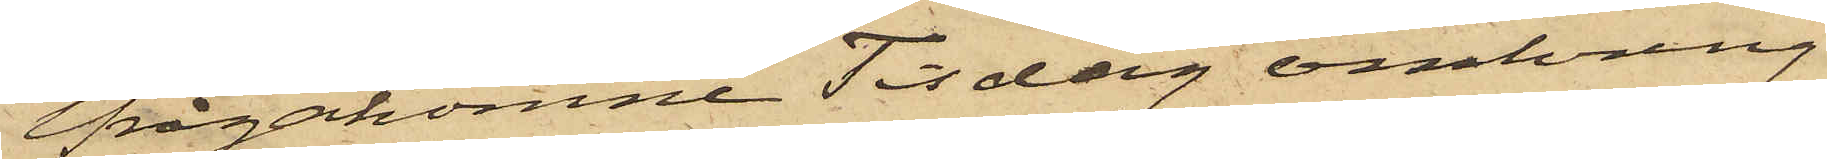ifrågakomne Tisdag omkring
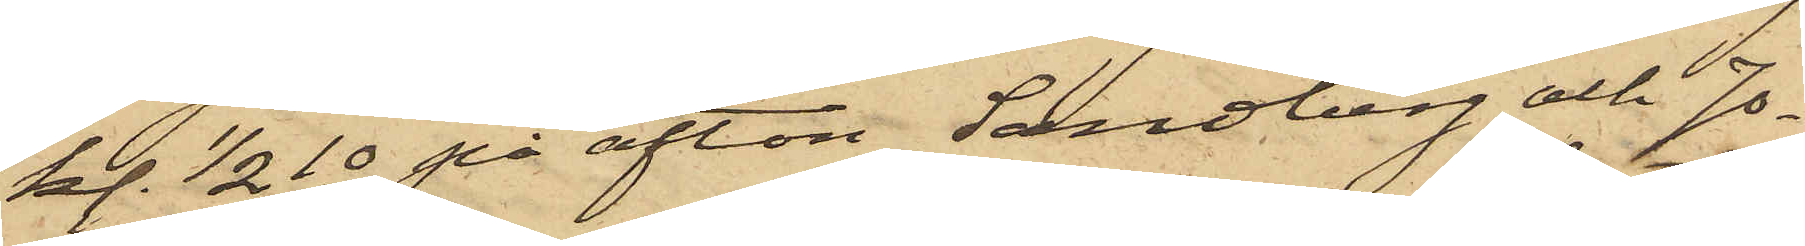kl. 1/2 10 på afton Sandberg och Jo¬
